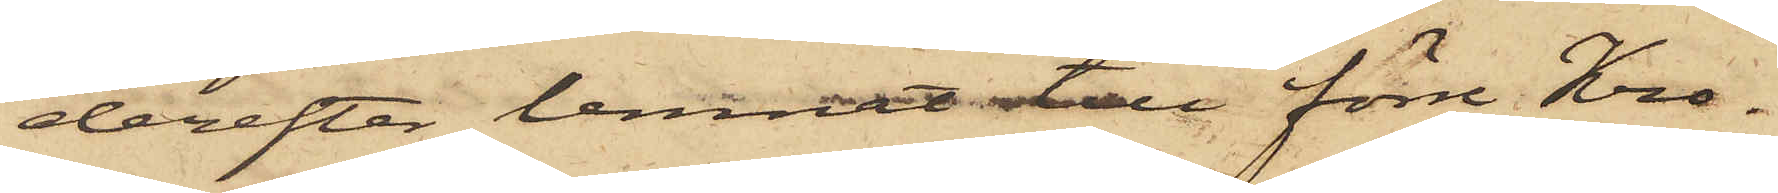derefter lemnat till förre Kro¬
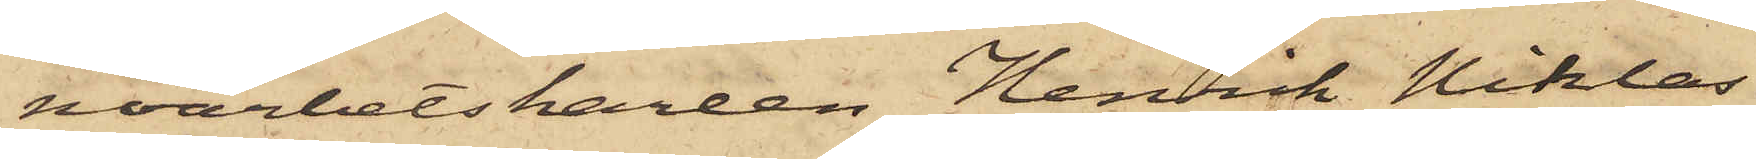noarbetskarlen Henrik Niklas
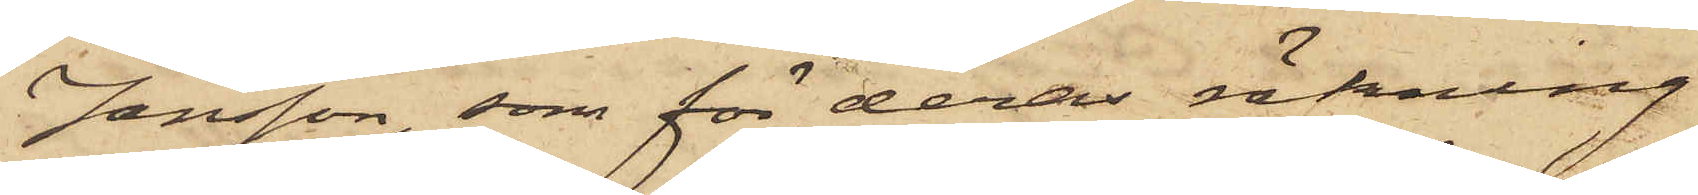Jansson, som för deras räkning
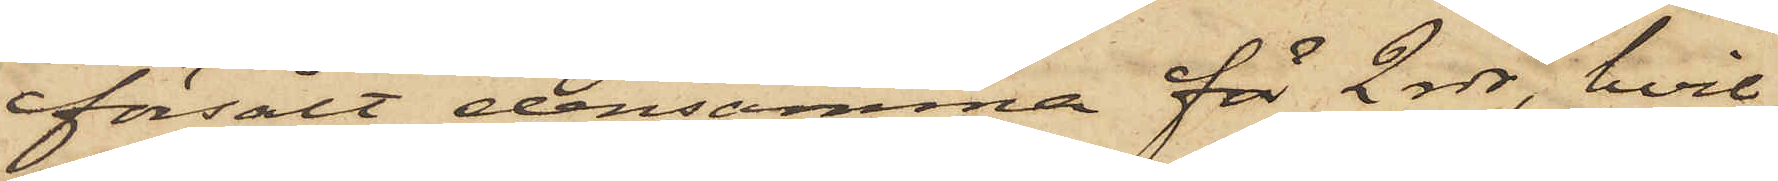försålt densamma för 2 rdr, hvil¬
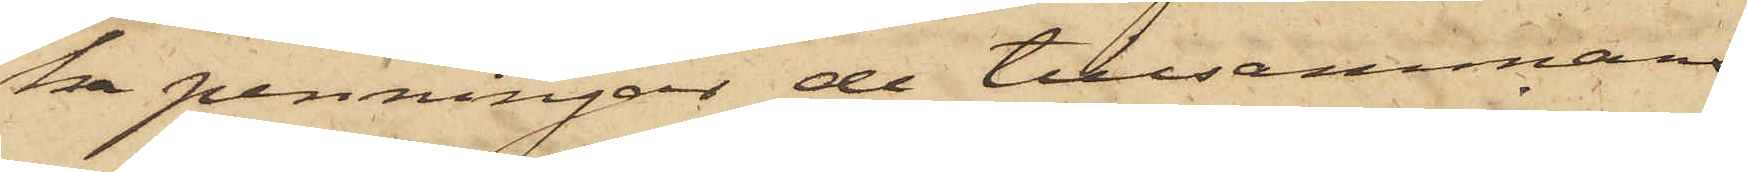ka penningar de tillsammans
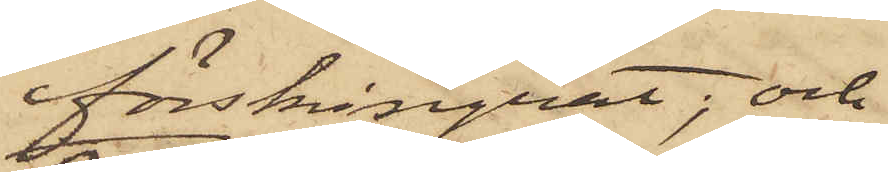förskingrat; och
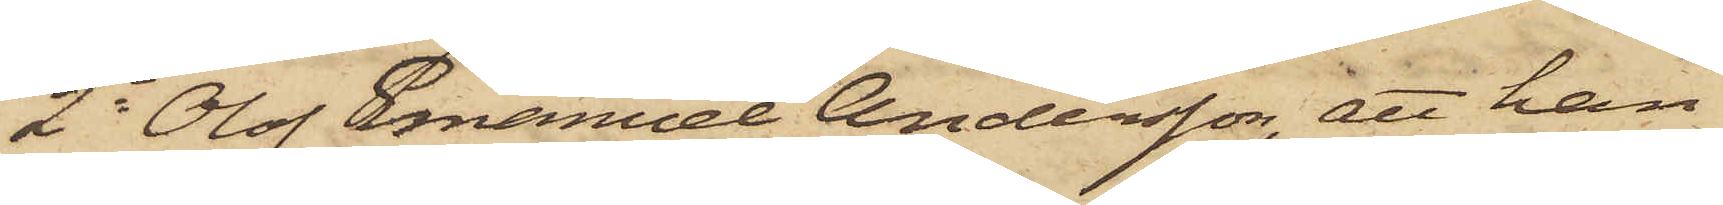2o Olof Emanuel Andersson, att han
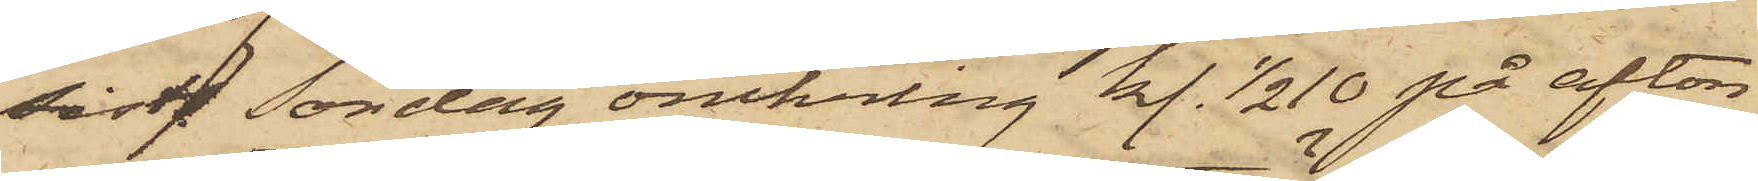sistl. Söndag omkring kl. 1/2 10 på afton
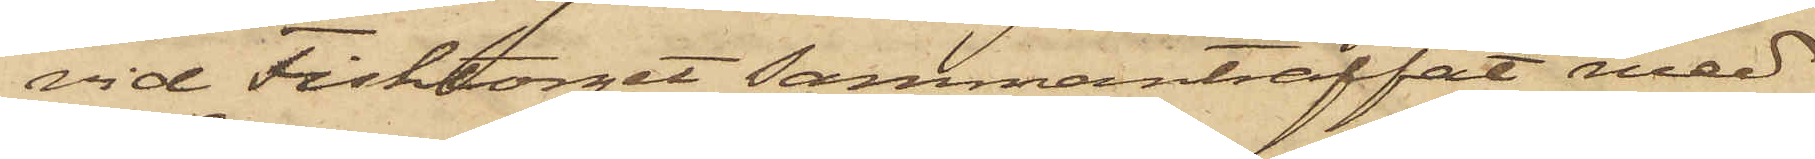vid Fisktorget sammanträffat med
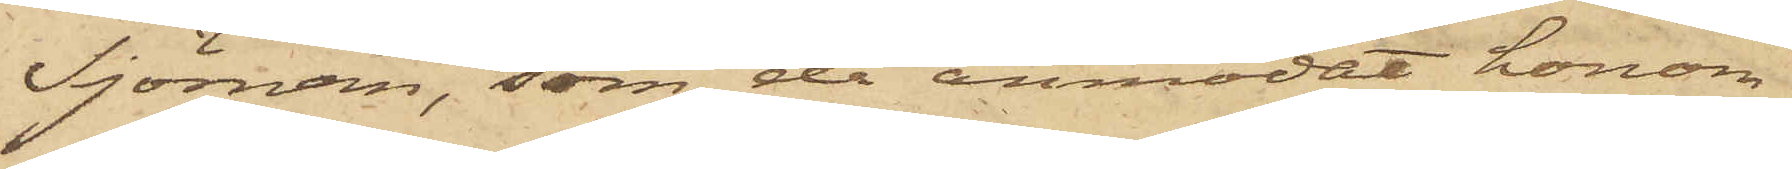Sjöman, som då anmodat honom
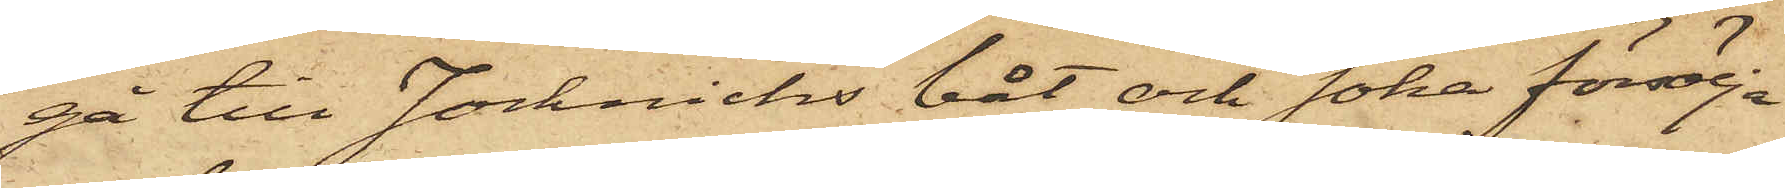gå till Jocknicks båt och söka försälja
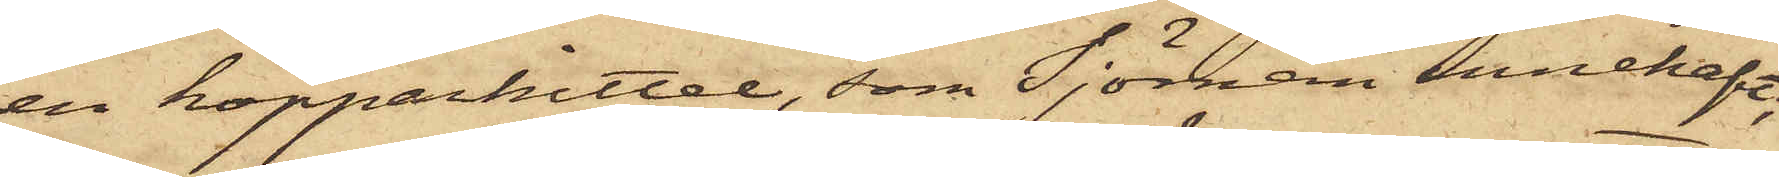en kopparkittel, som Sjöman innehaft,
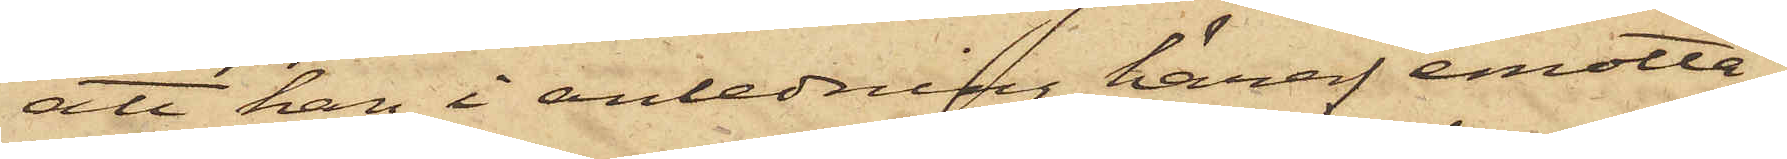att han i anledning häraf emotta¬
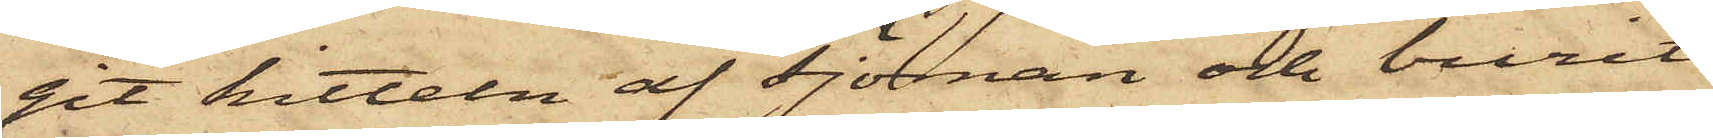git kitteln af Sjöman och burit
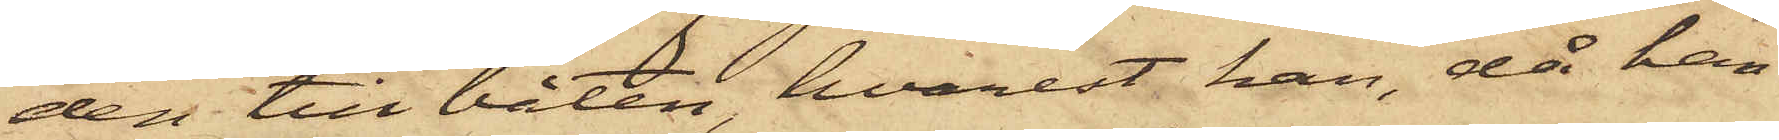den till båten, hvarest han, då han
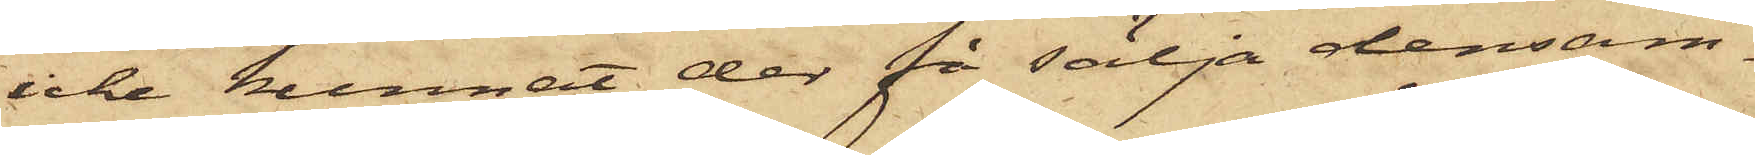icke kunnat der få sälja densam¬
